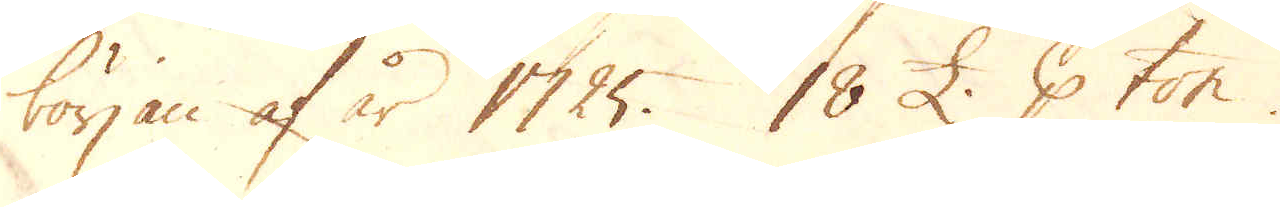början af år 1725. 18 £. p ton.
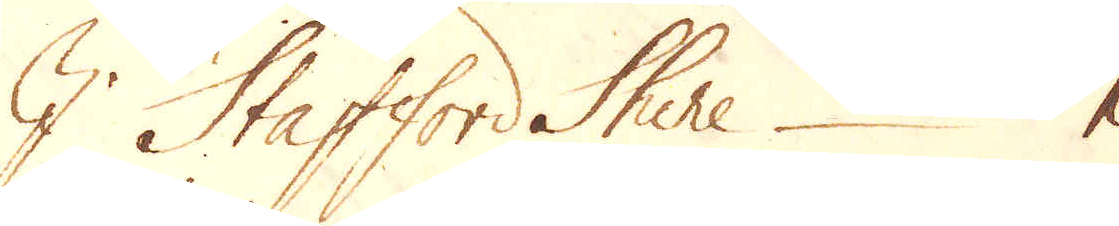I Stafford Shire 1
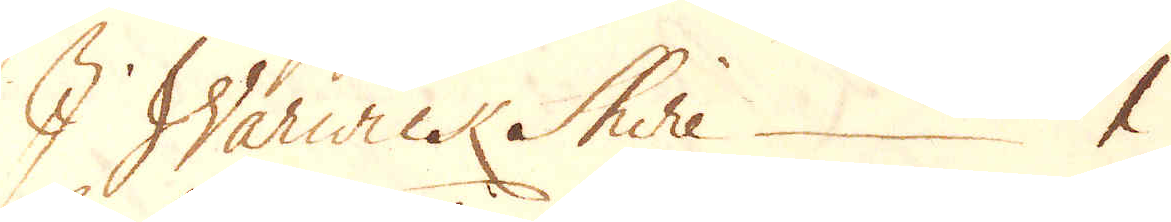I Warwick Shire 1
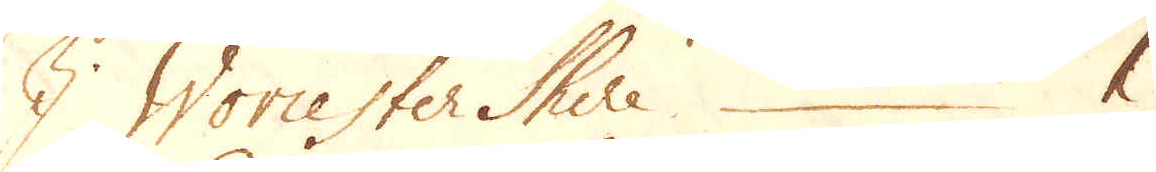I Worcester Shire 1
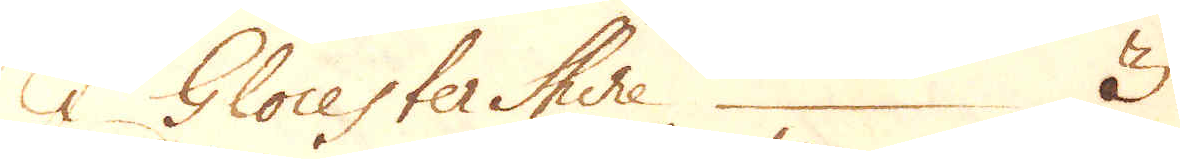I Glocester Shire 3
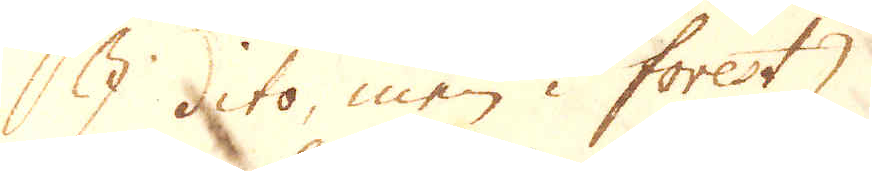I dito, men i forest
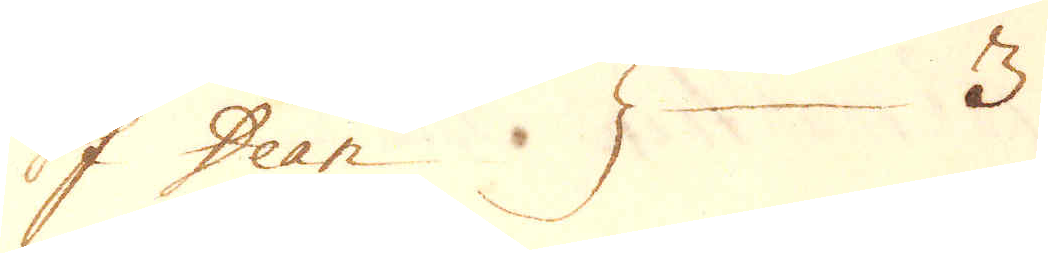of Dean 3
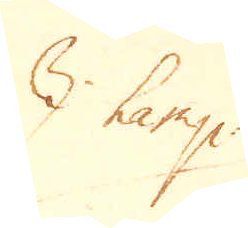I hamp
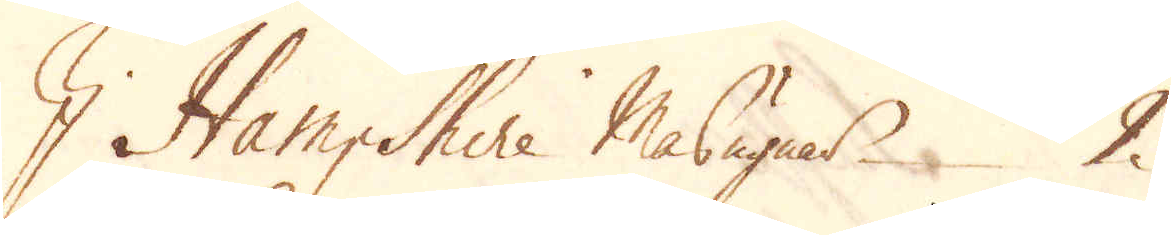I Hamp Shire Masugnar 2
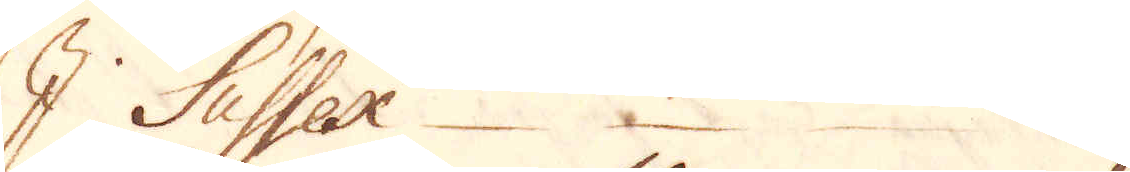I Sussex 9
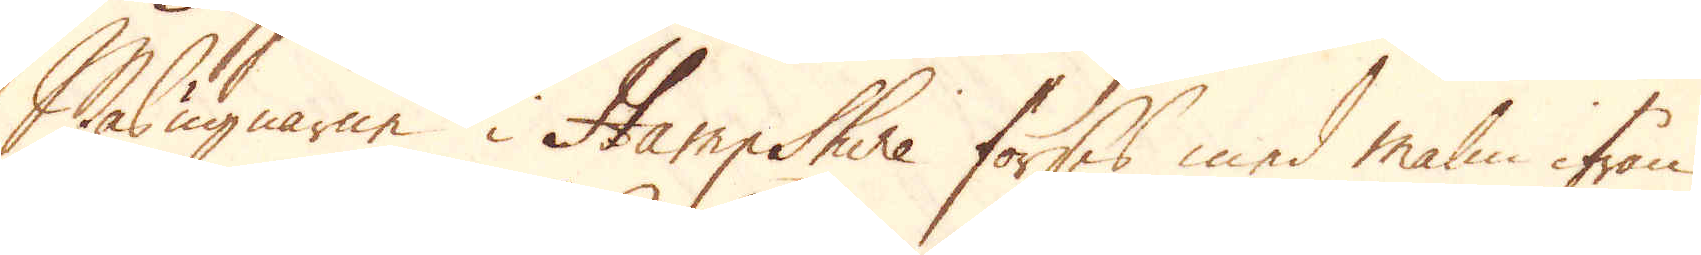Masugnarne i Hamp Shire förses med malm ifrån
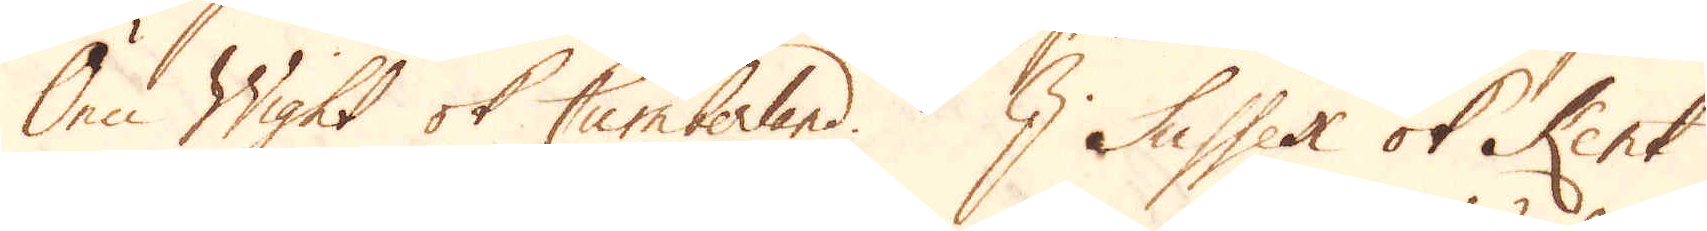Öen Wight ok Cumberland. I Sussex ok Kent
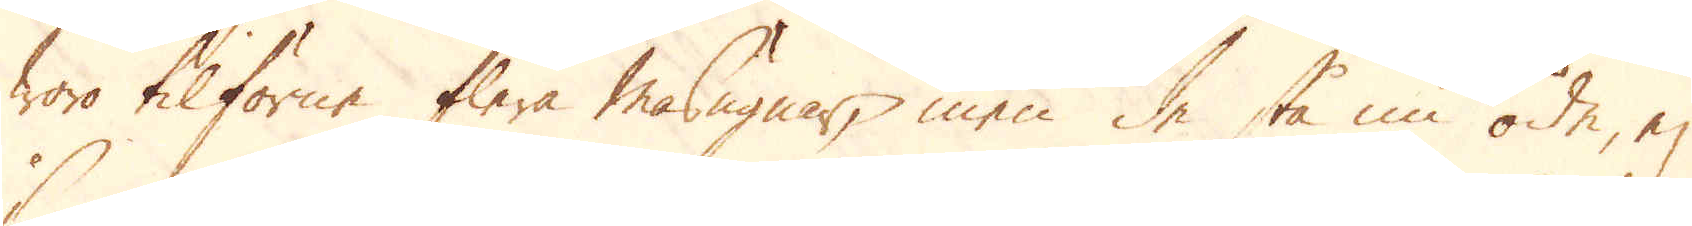woro tilförne flere masugnar, men de stå nu öde, ej
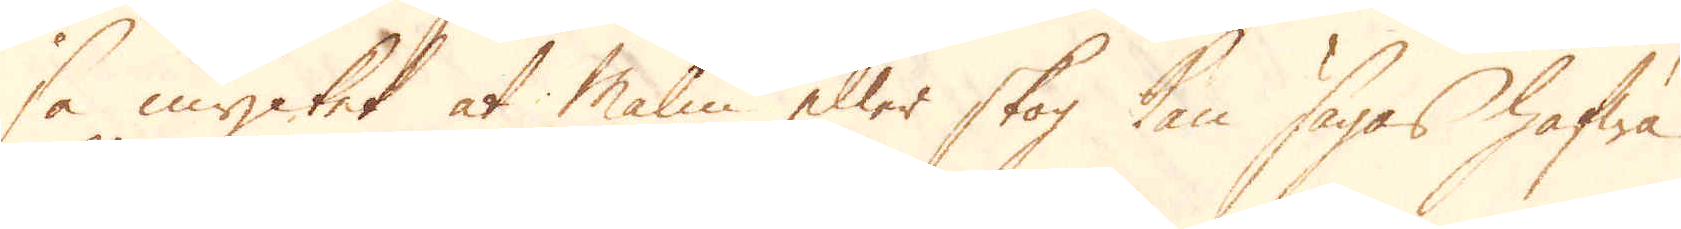så mycket at Malm eller skog kan sägas hafwa
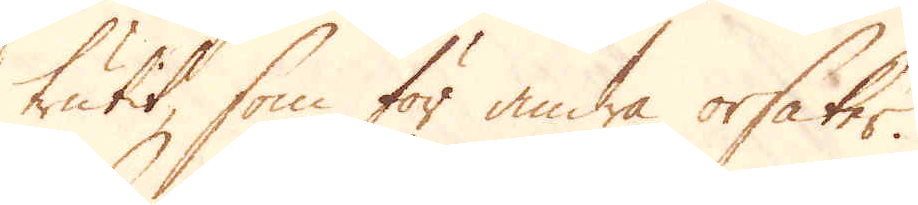trutit som för andra orsaker.
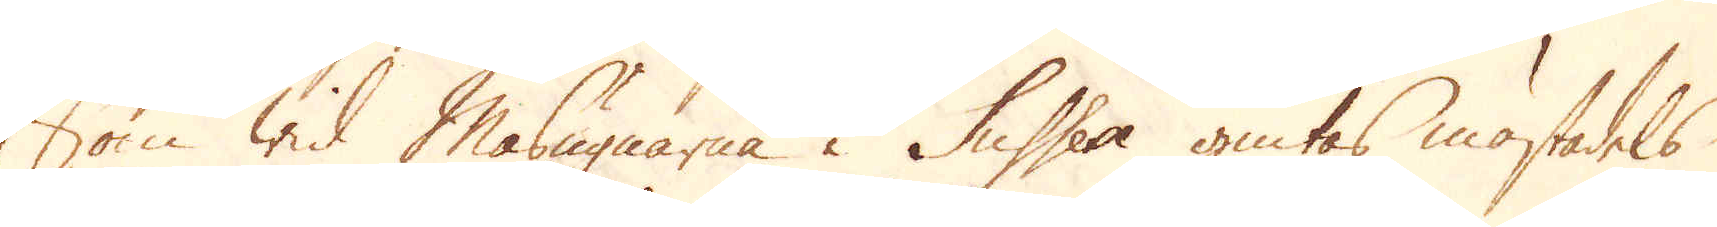Som wid Masugnarna i Sussex giutas mästadels
